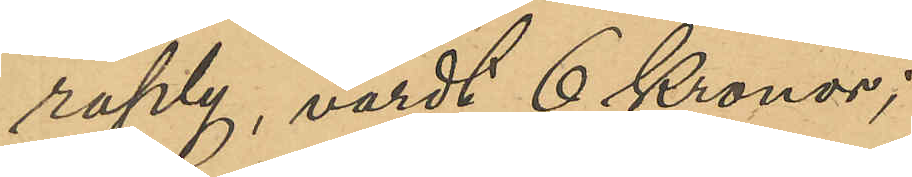raply, värdt 6 Kronor;
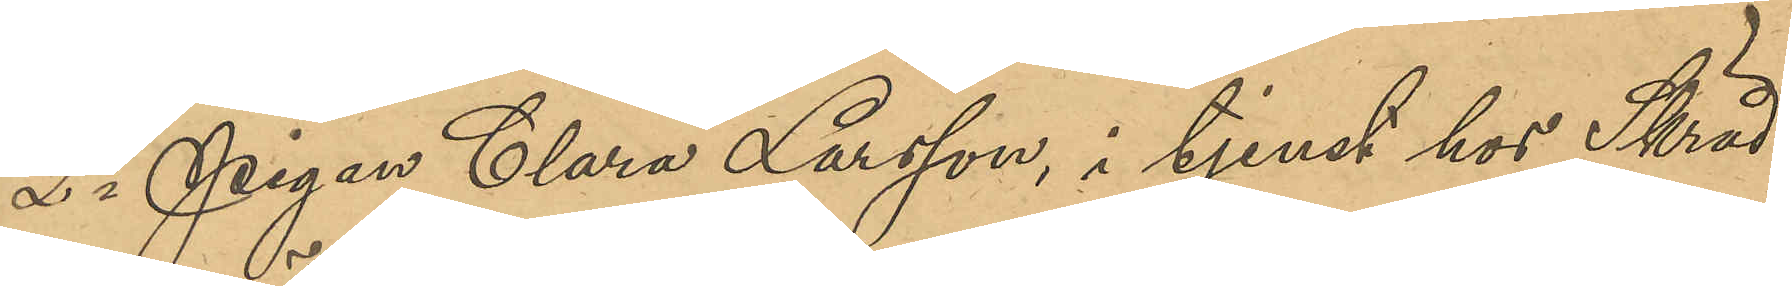2o Pigan Clara Larsson, i tjenst hos Skräd¬
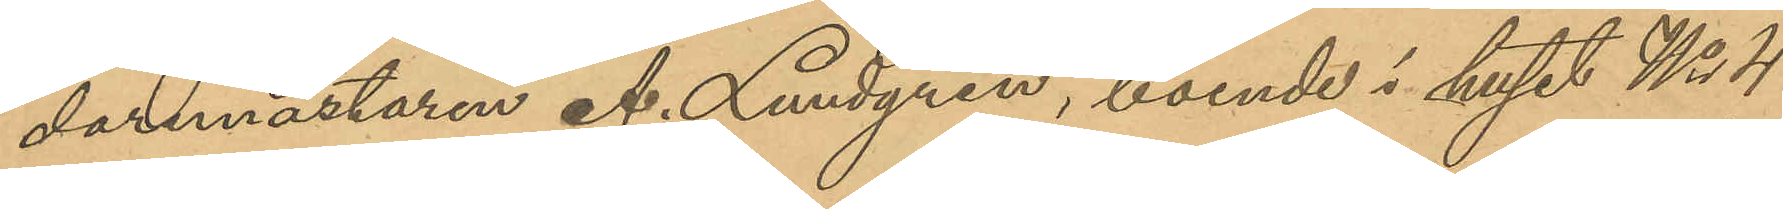daremästaren A. Lundgren, boende i huset No 4
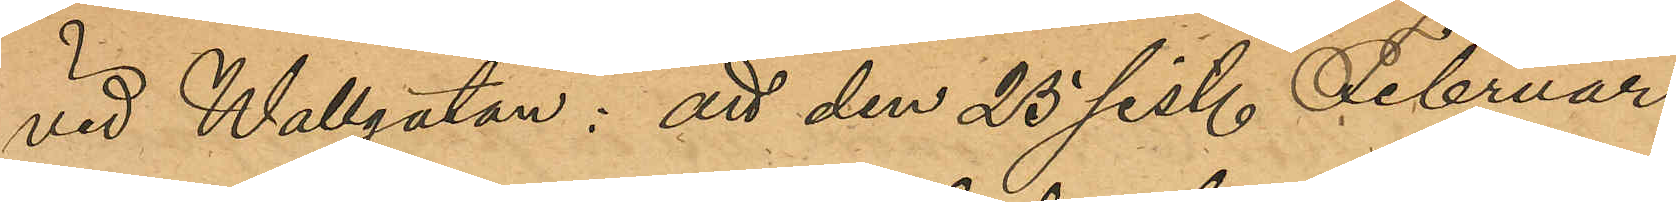vid Wallgatan: att den 25 sist. Februari
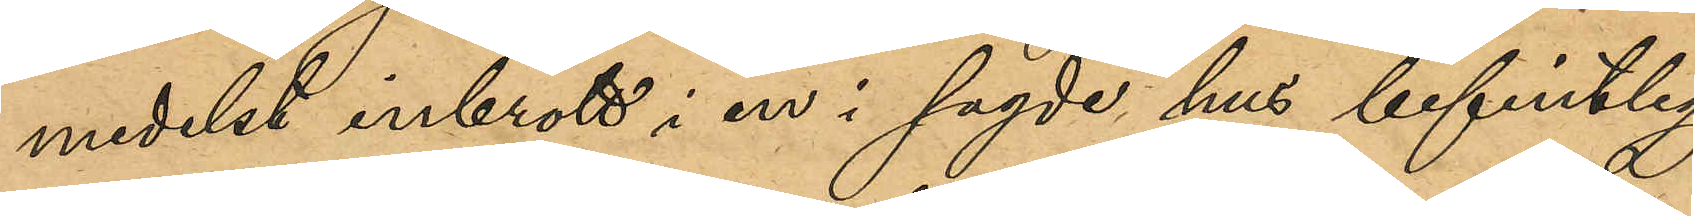medelst inbrott i en i sagde hus befintlig
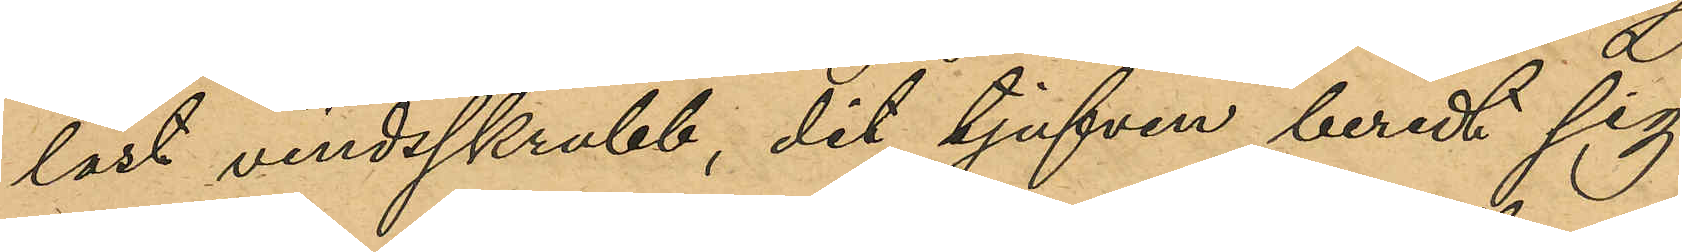låst vindsskrubb, dit tjufven beredt sig
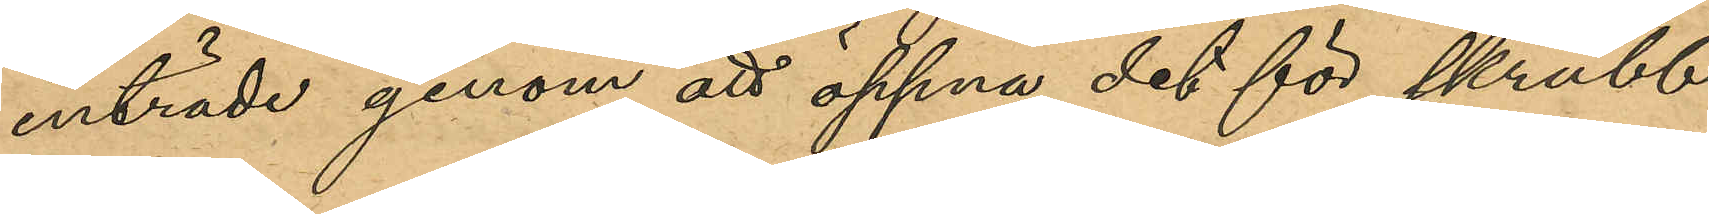inträde genom att öppna det för skrubb¬
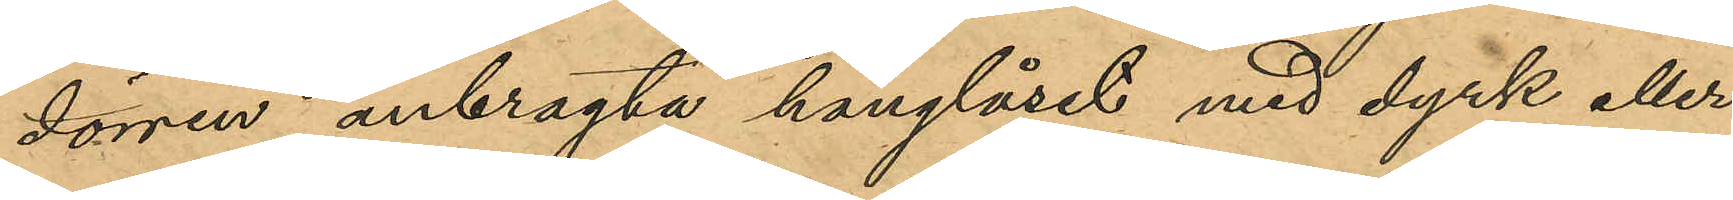dörren anbragte hänglåset med dyrk eller
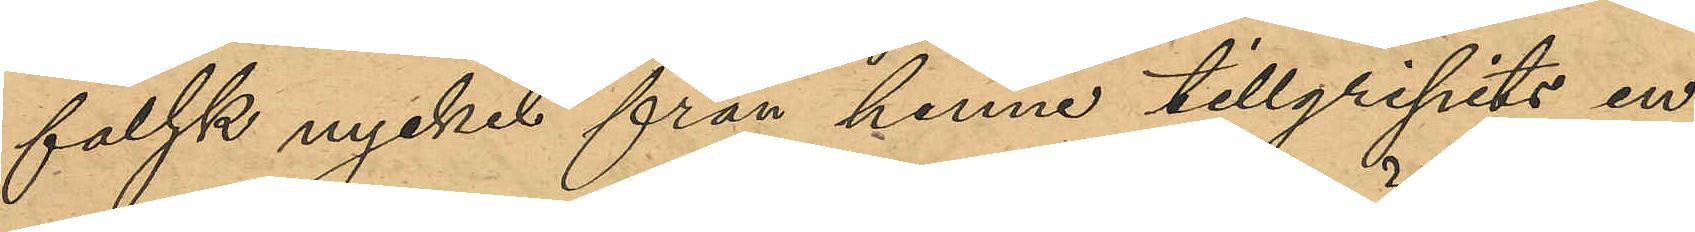falsk nyckel från henne tillgipits en 
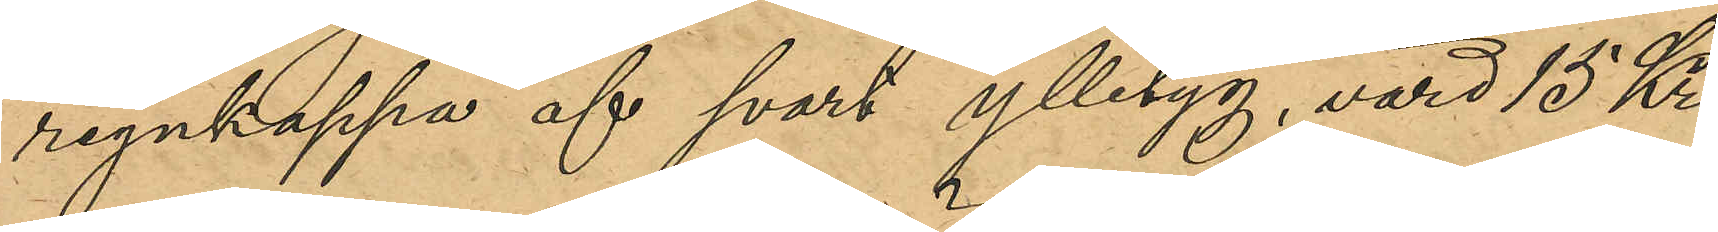regnkappa af svart ylletyg, värd 15 Kr.,
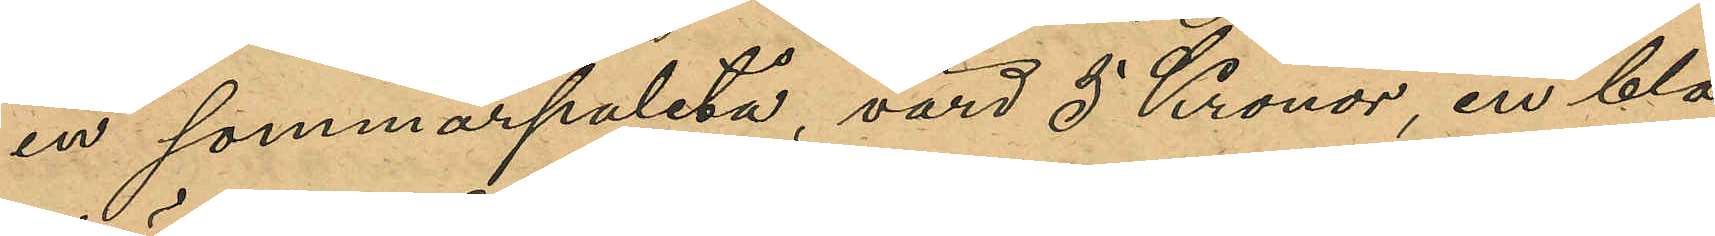en sommarpaletå, värd 5 Kronor, en blå
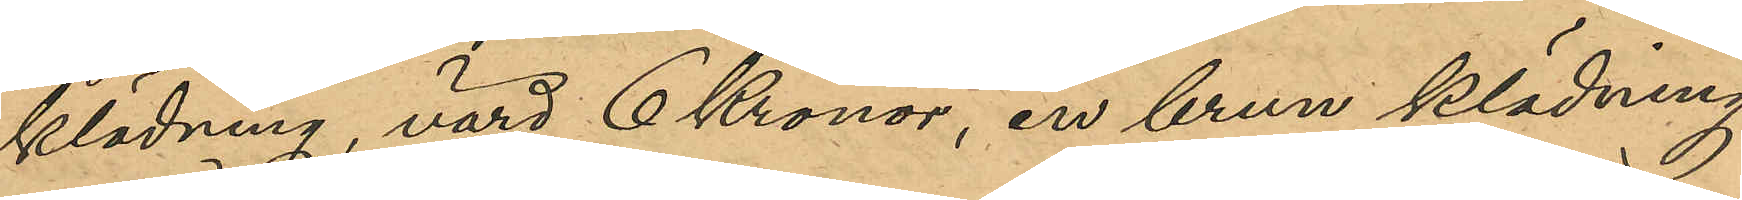klädning, värd 6 Kronor, en brun klädning,
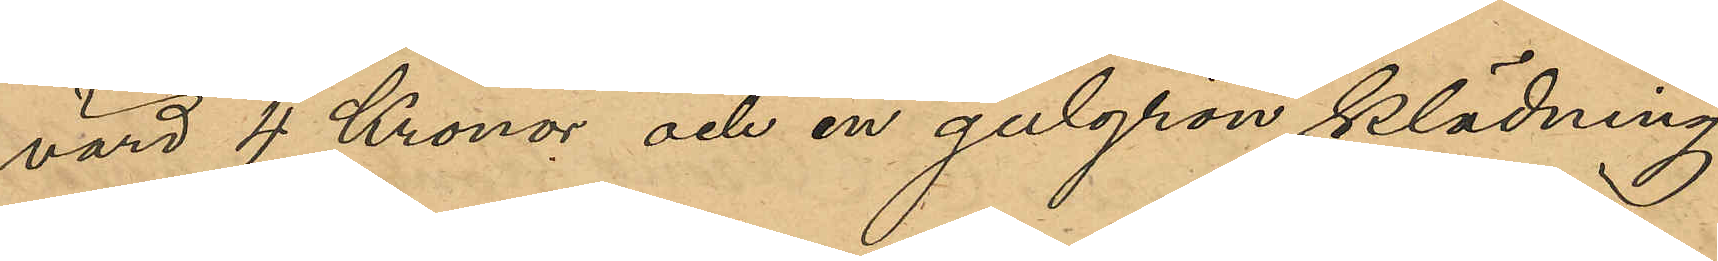värd 4 Kronor och en gulgrön klädning,
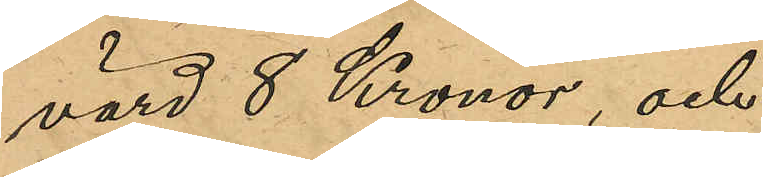värd 8 Kronor, och
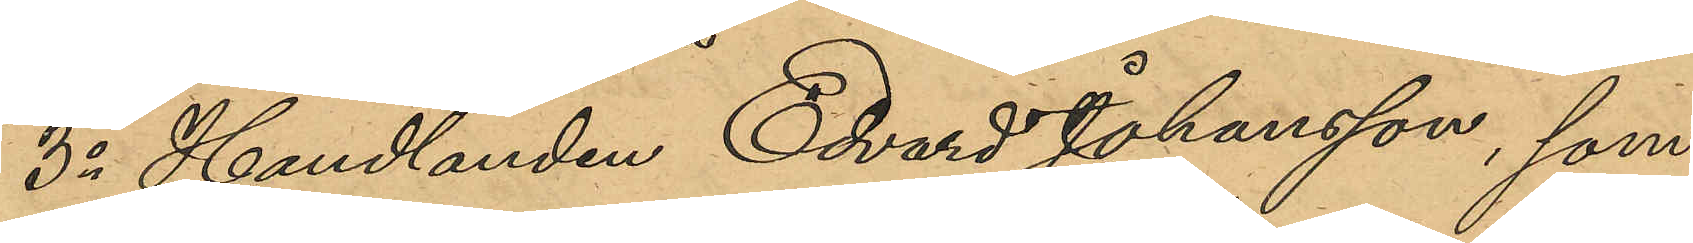3o Handlanden Edvard Johansson, som
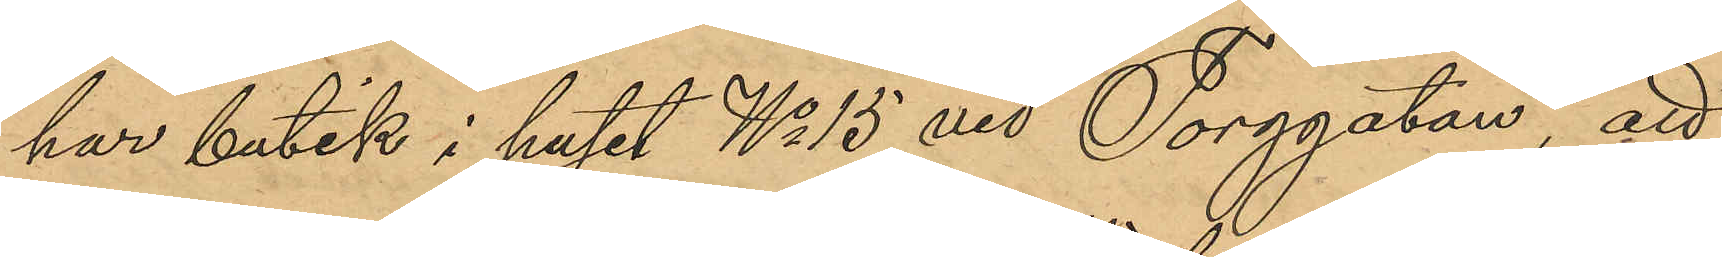har butik i huset No 15 vid Torggatan, att
